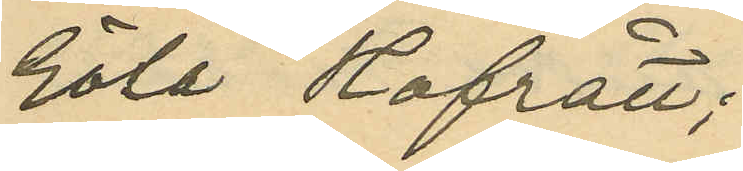Göta Hofrätt;
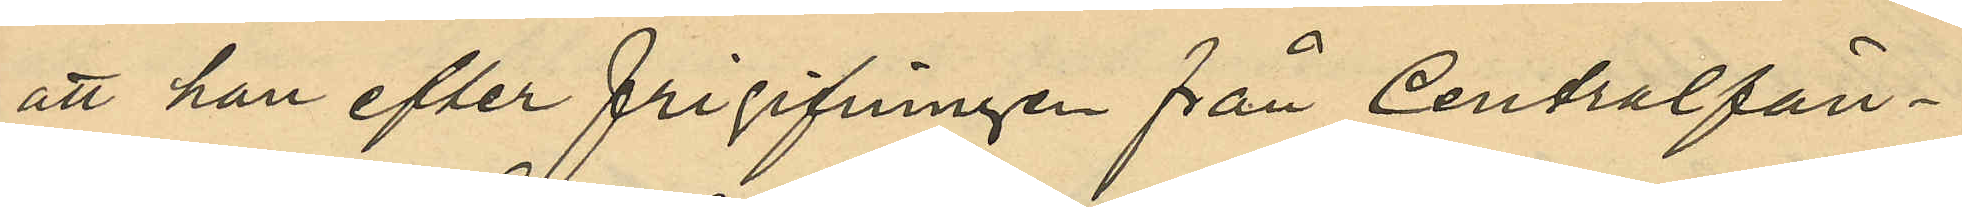att han efter frigifningen från Centralfän¬
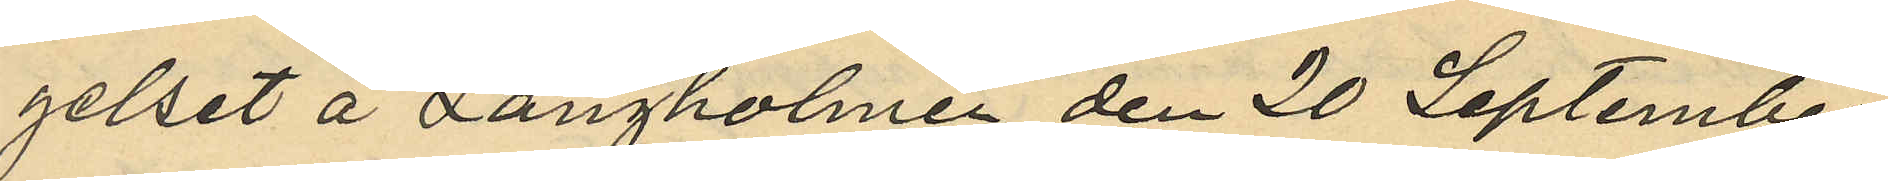gelset å Långholmen den 20 September
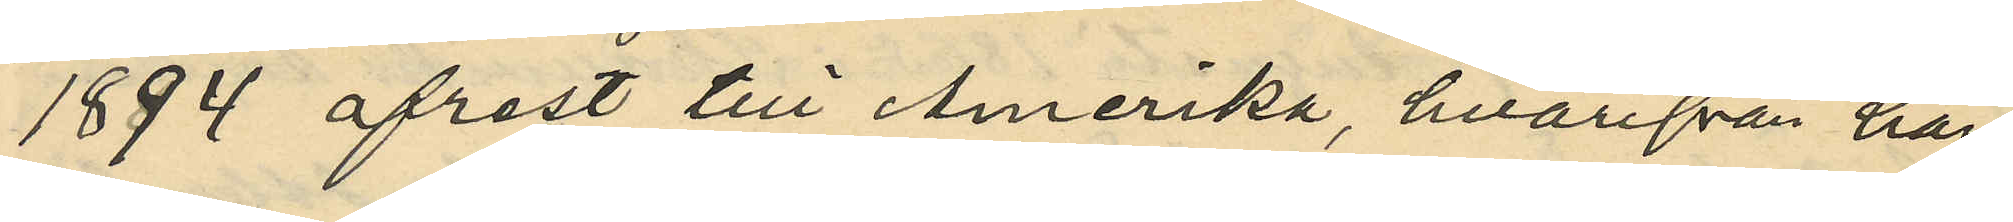1894 afrest till Amerika, hvarifrån han,
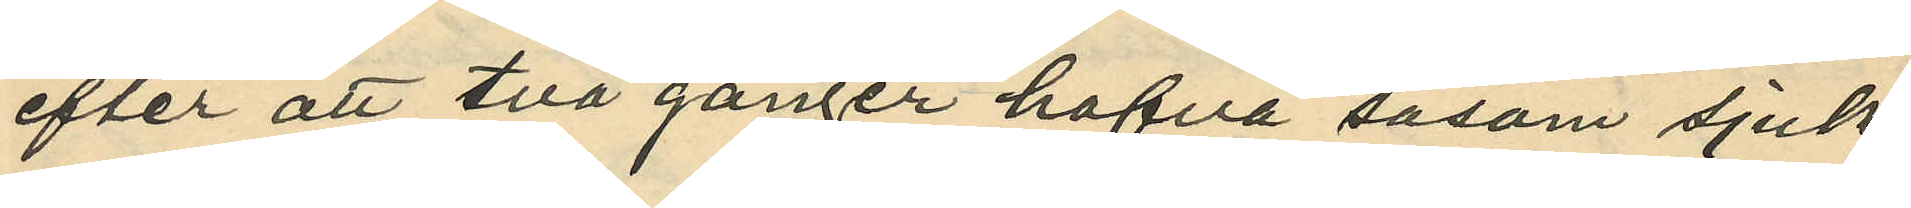efter att två gånger hafva såsom sjuk
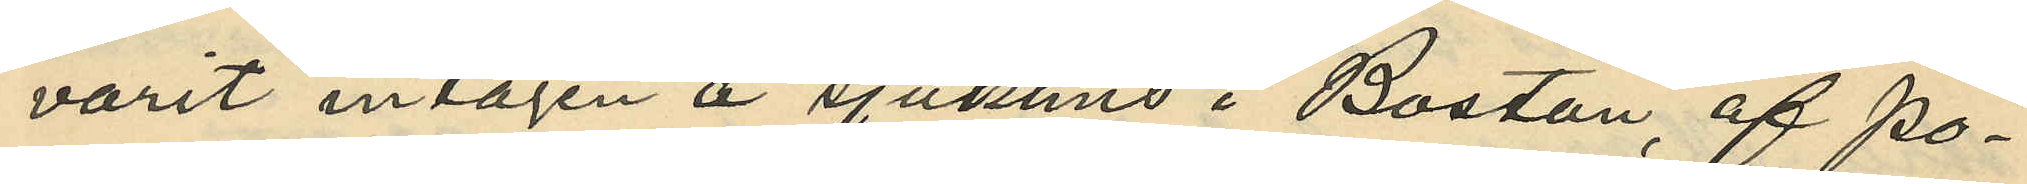varit intagen å sjukhus i Boston, af Po¬
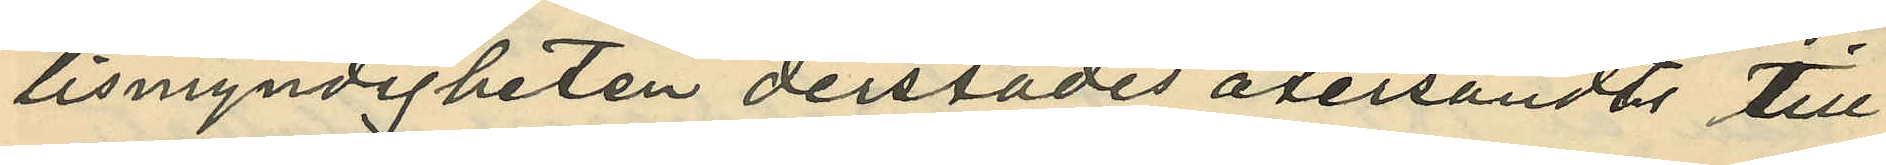lismyndigheten derstädes återsändts till
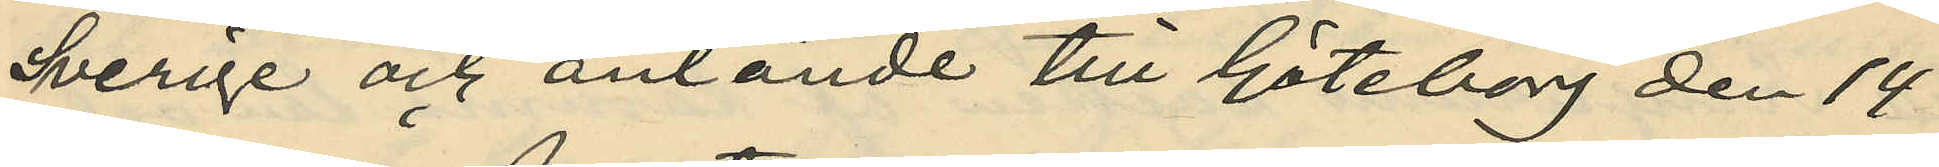Sverige och anlände till Göteborg den 14
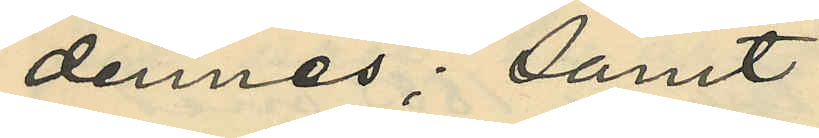dennes; samt
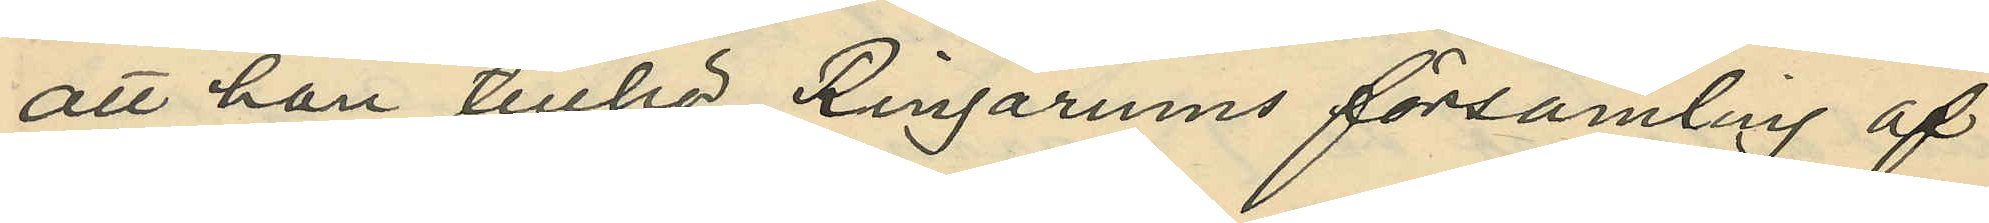att han tillhör Ringarums församling af
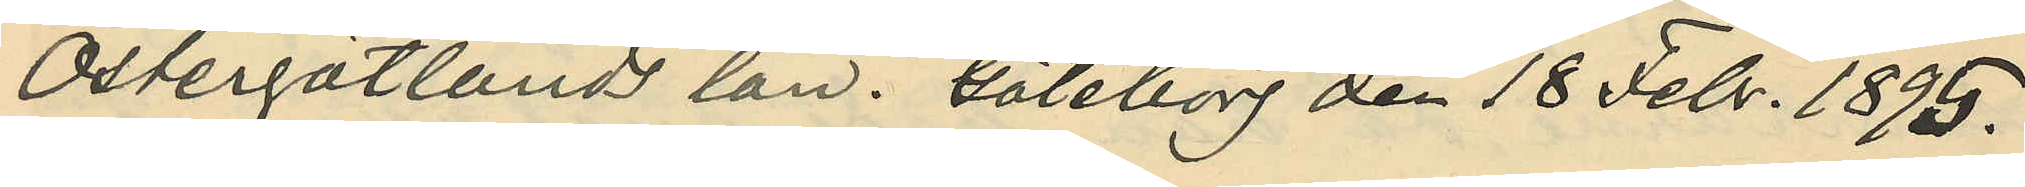Östergötlands län. Göteborg den 18 Febr. 1895.
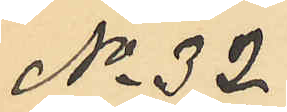No 32
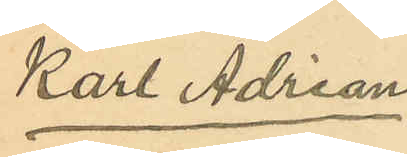Karl Adrian.
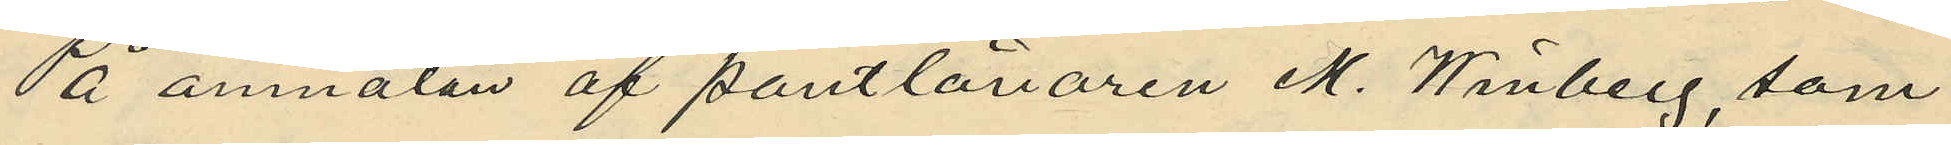På anmälan af pantlånaren M. Winberg, som
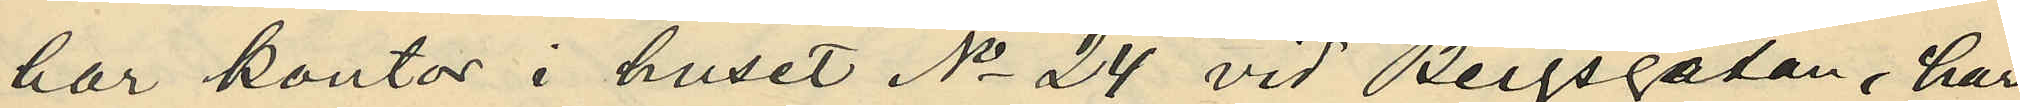har kontor i huset No 24 vid Bergsgatan, har
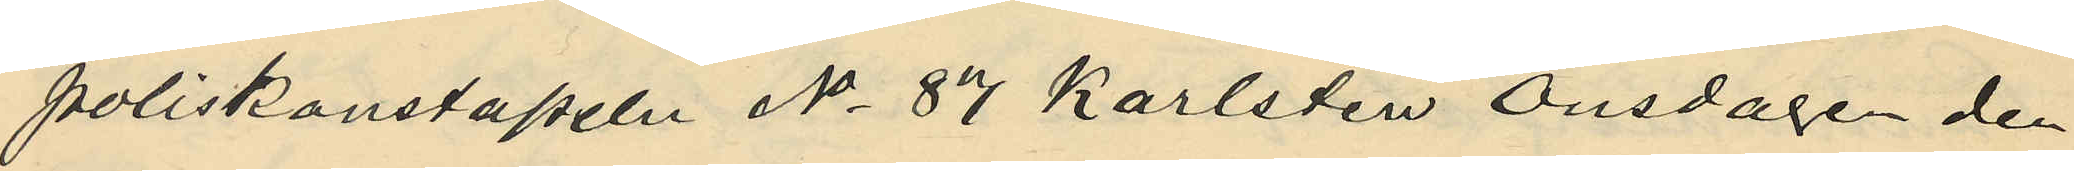poliskonstapeln No 87 Karlsten Onsdagen den
